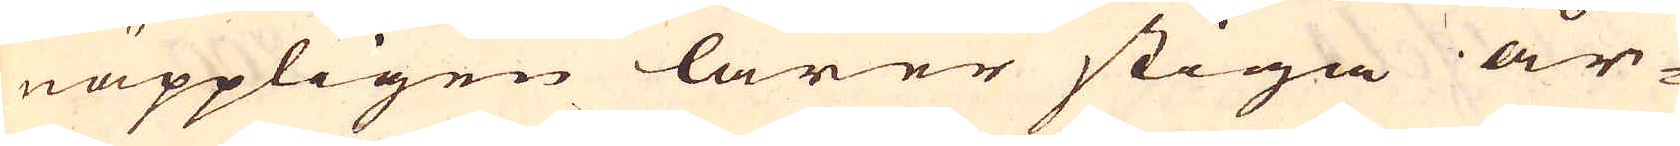näppligen lärer stiga år-
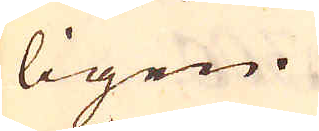ligen.
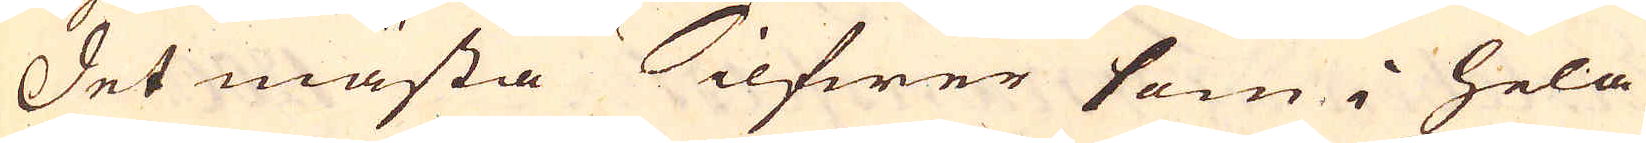Det mästa Silfwer som i hela
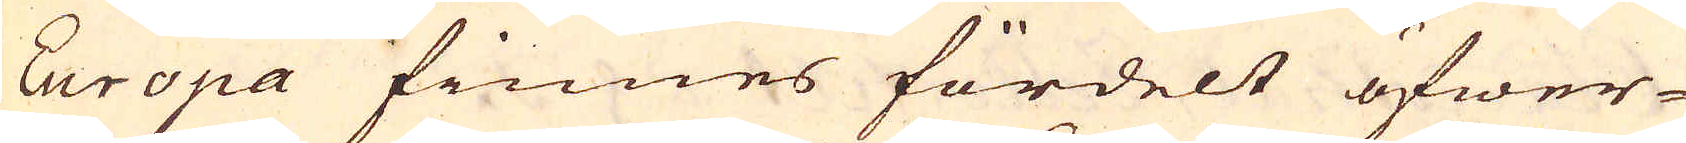Europa finnes fördelt öfwer-
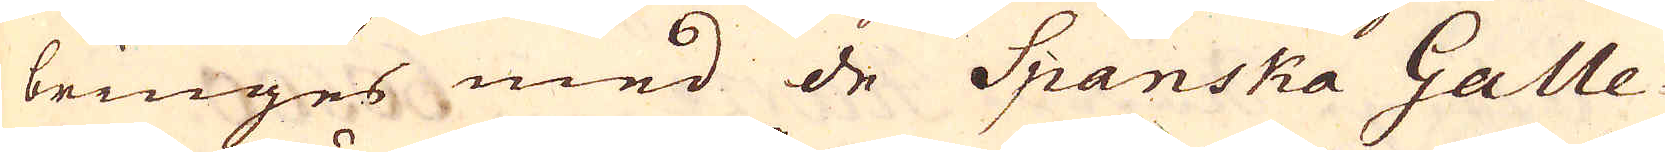bringes med de Spanska Galle-
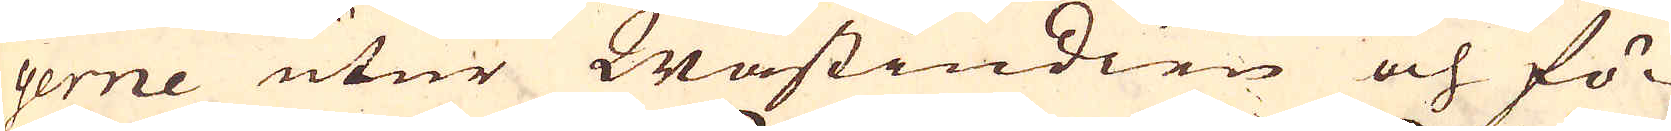gerne utur Wästindien och fö-
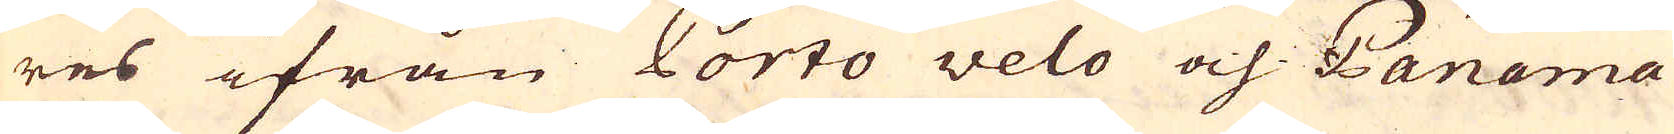res ifrån Porto velo och Panama
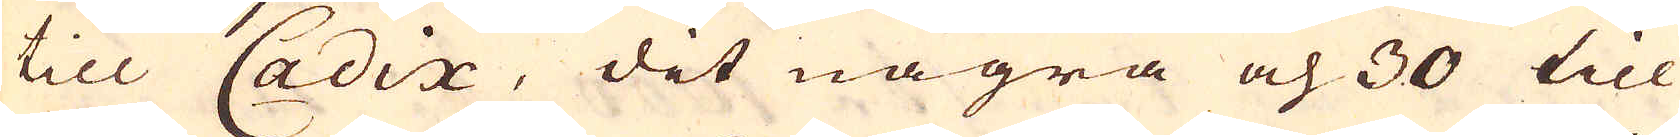till Cadix, det några och 30 till
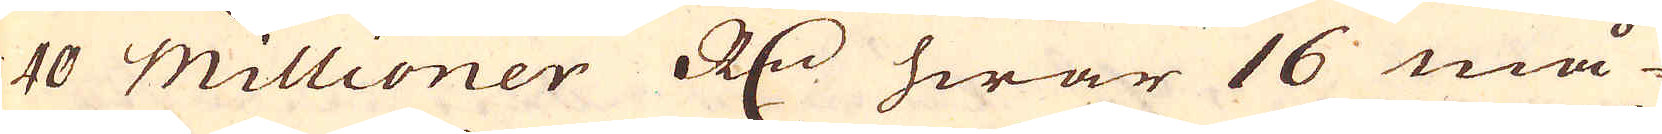40 millioner R:dr hwar 16 må-
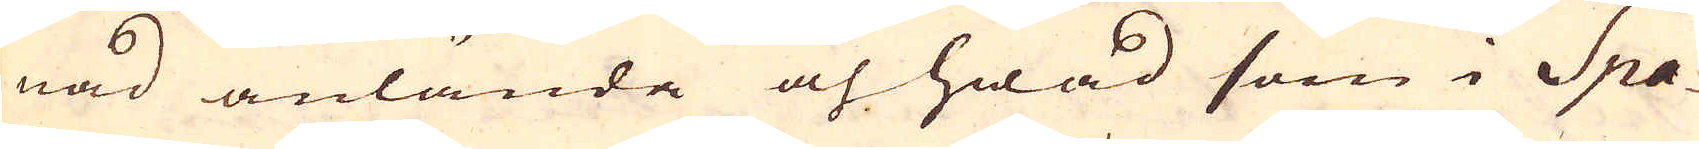nad anlände och hwad som i Spa-
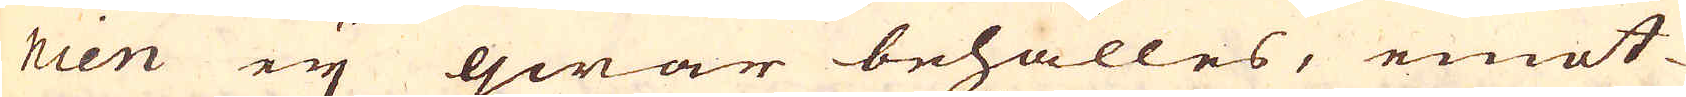nien eij qwar behålles, emot-
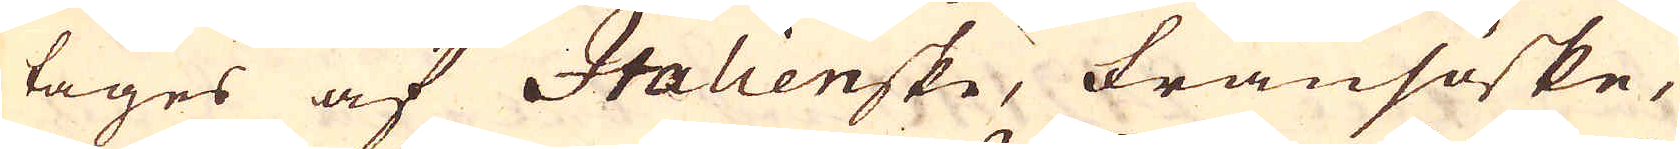tages af Italienske, Fransöske,
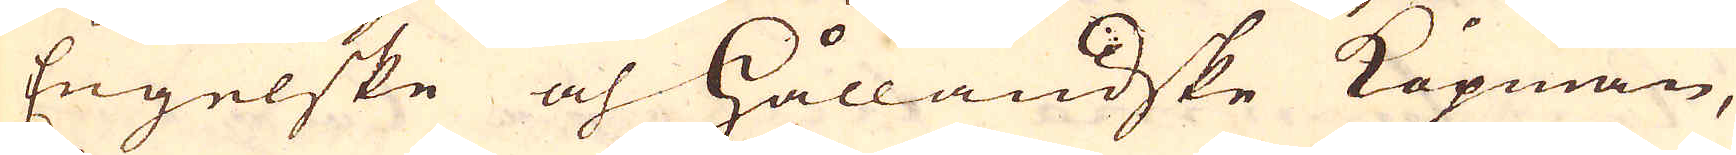Engelske och Hålländske Köpmän,
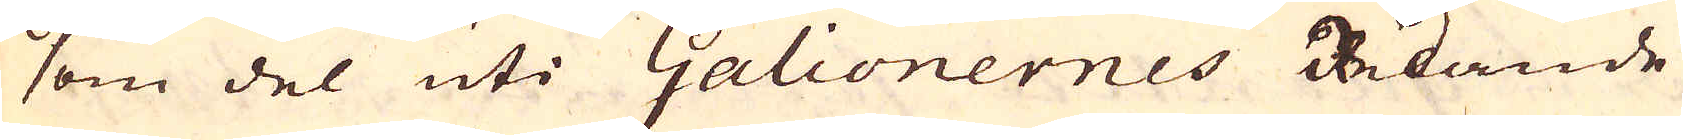som del uti Galionernes Redande
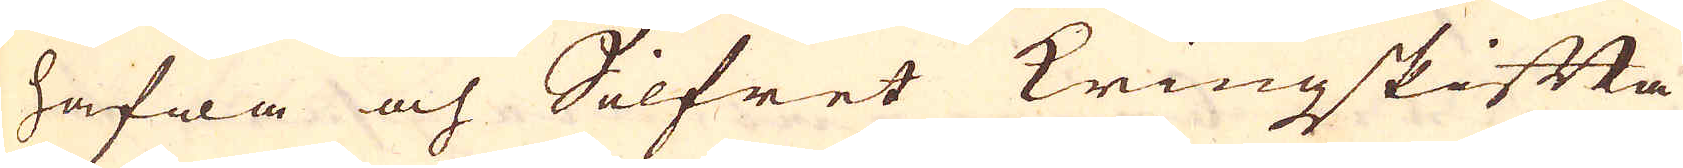hafwa och Silfret kringskifta
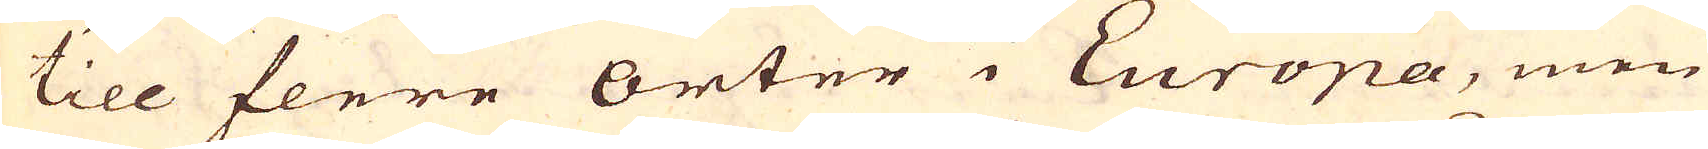till flere orter i Europa, men
